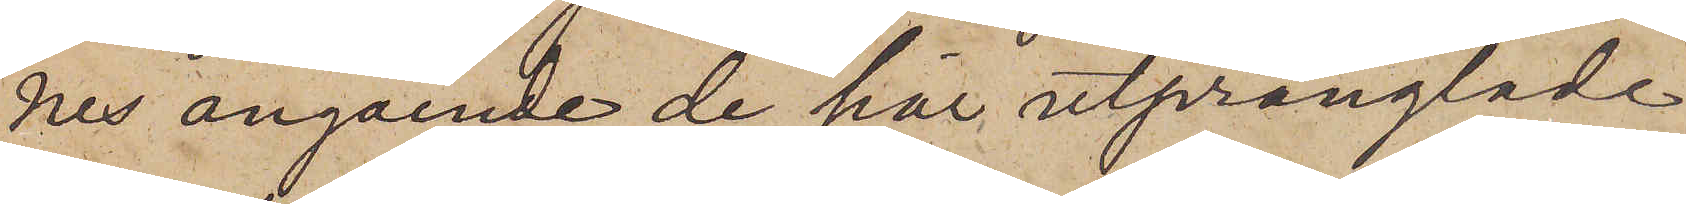nes angående de här utprånglade
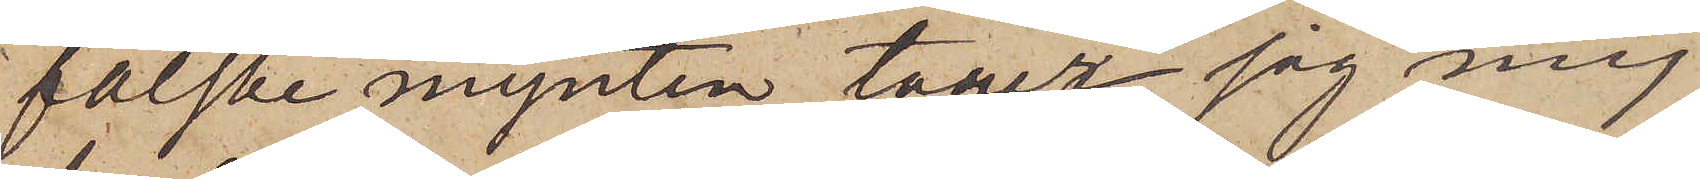falske mynten, tager jag mig
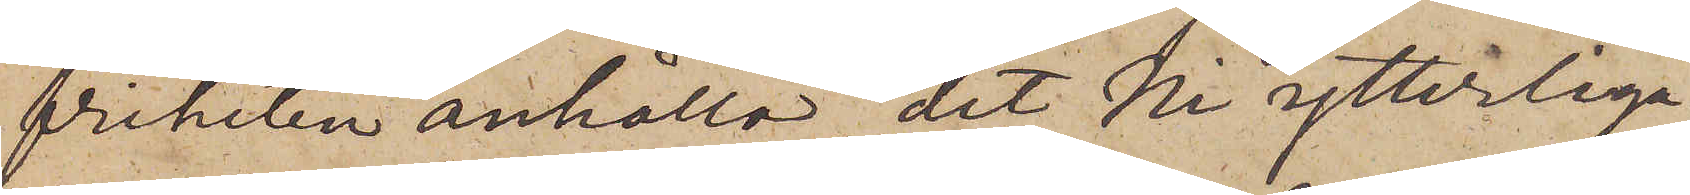friheten anhålla, det Ni ytterliga¬
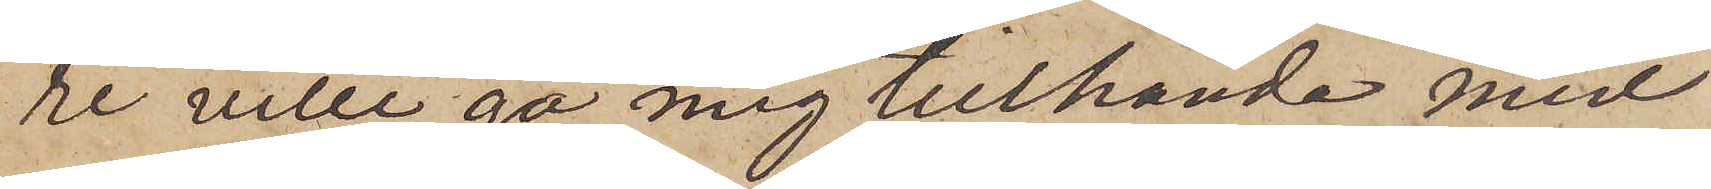re ville gå mig tillhanda med
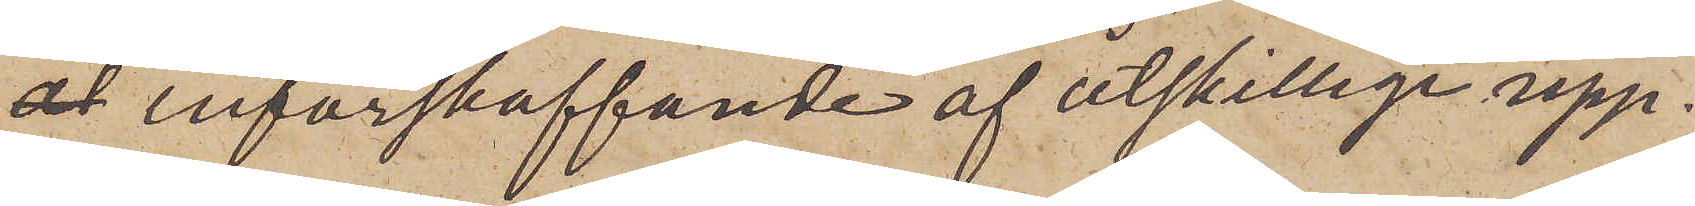 införskaffande af åtskillige upp¬
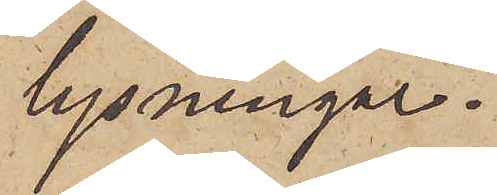lysningar.
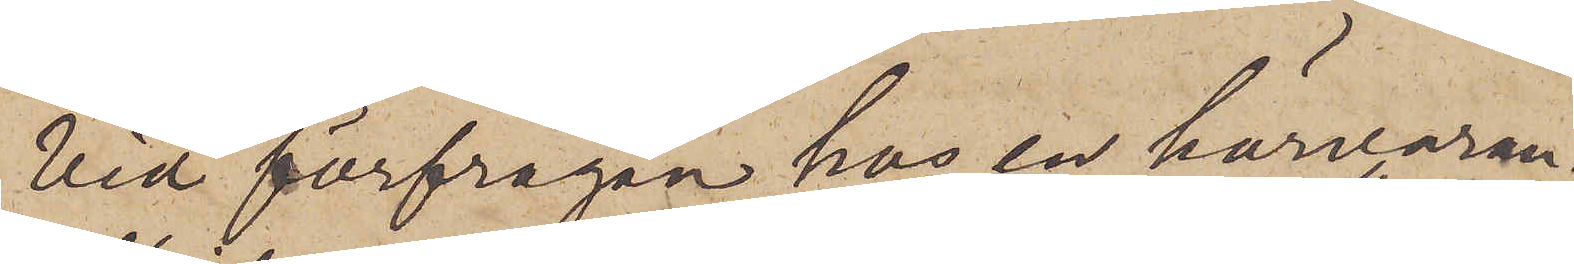Vid förfrågan hos en härvaran¬
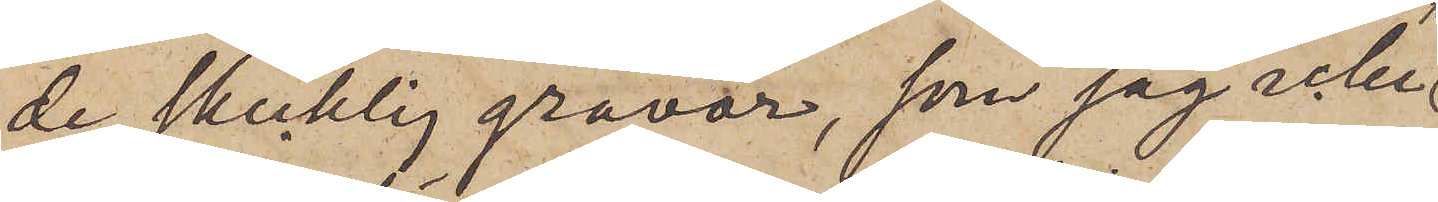de skicklig gravör, som jag icke
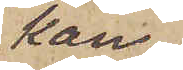kan
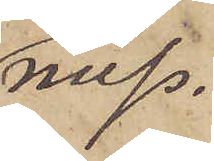miss¬
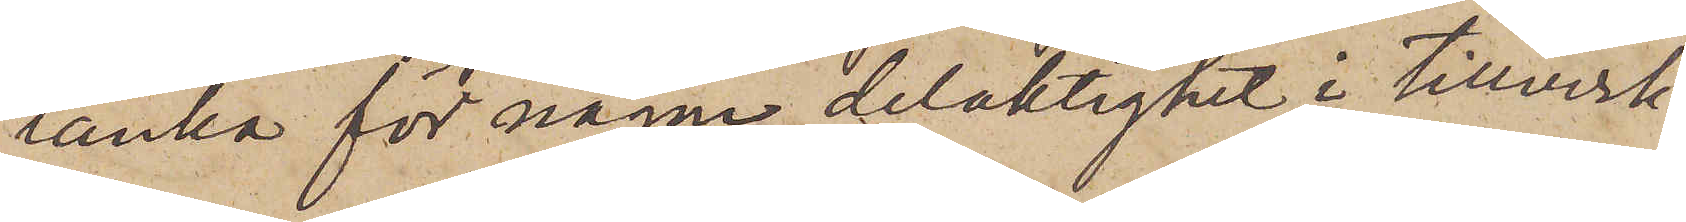tänka för någon delaktighet i tillverk¬
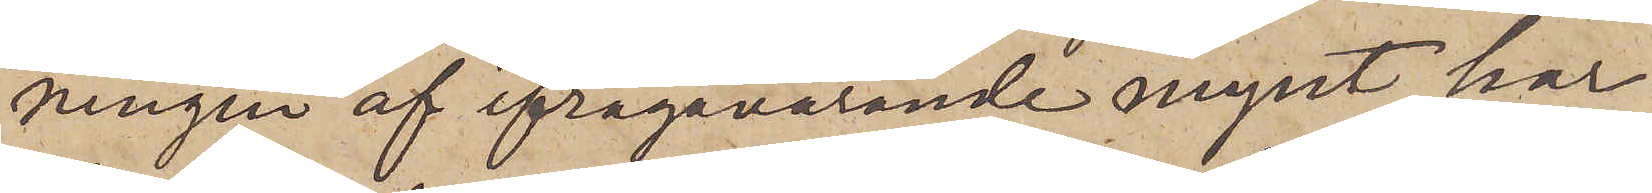ningen af ifrågavarande mynt, har
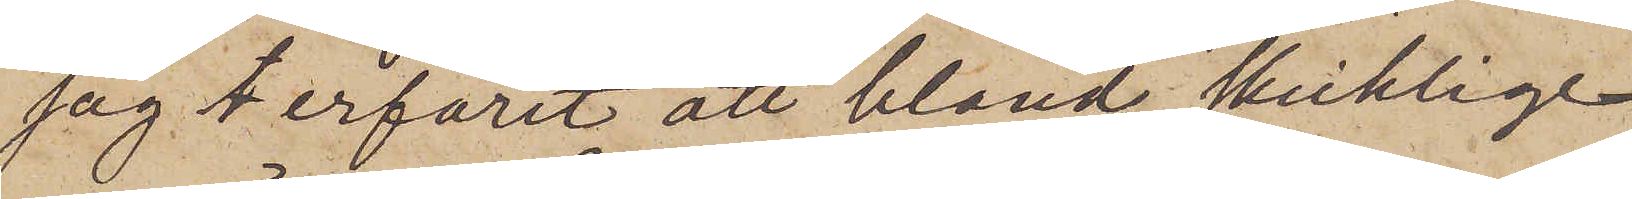jag erfarit att bland skicklige
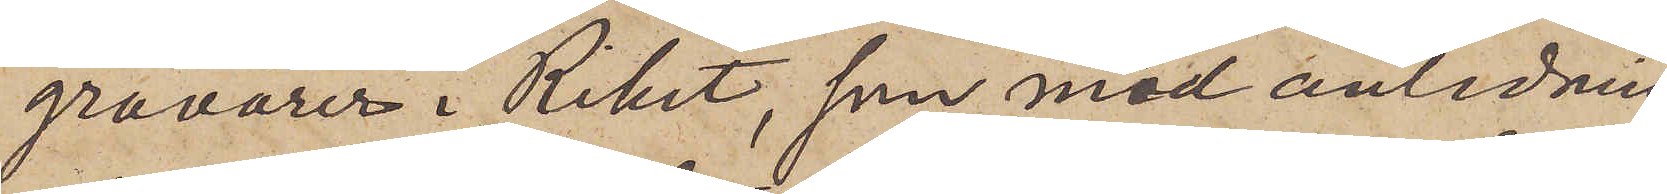gravörer i Riket, som med anledning
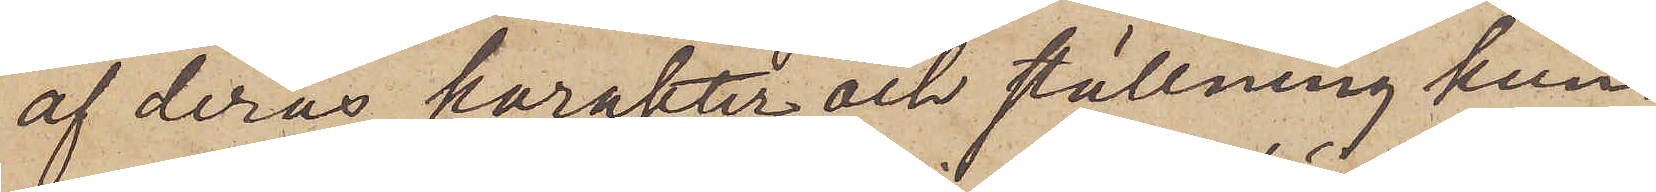af deras karakter och ställning kun¬
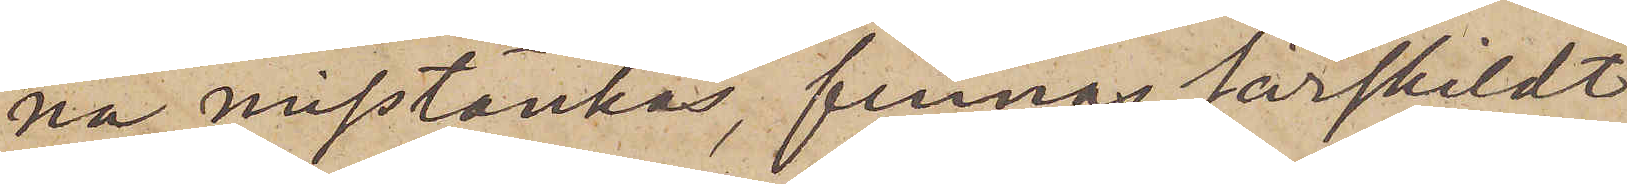na misstänkas, finnas särskildt
